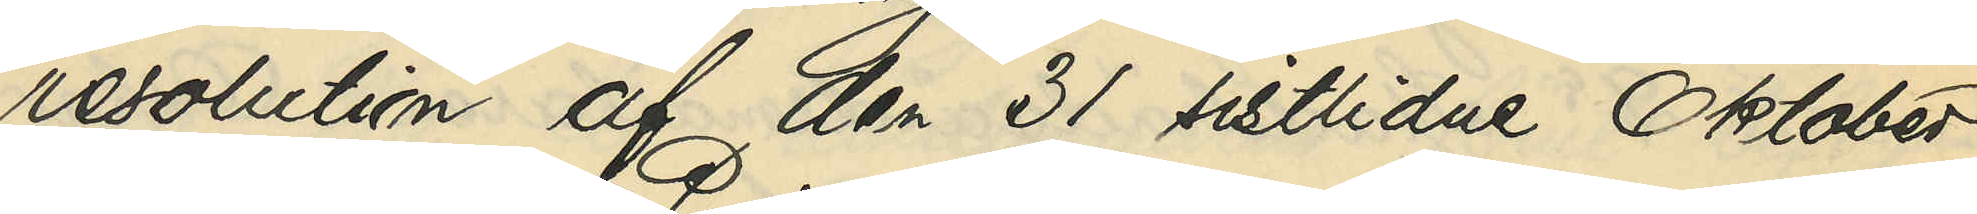resolution af den 31 sistlidne Oktober,
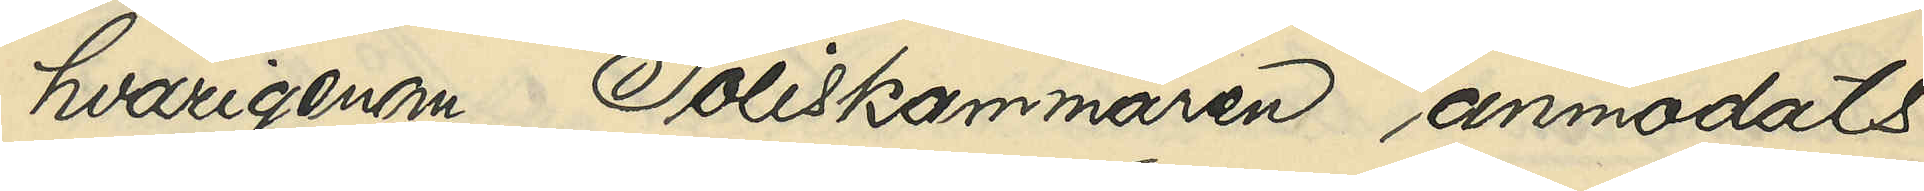hvarigenom Poliskammaren anmodats
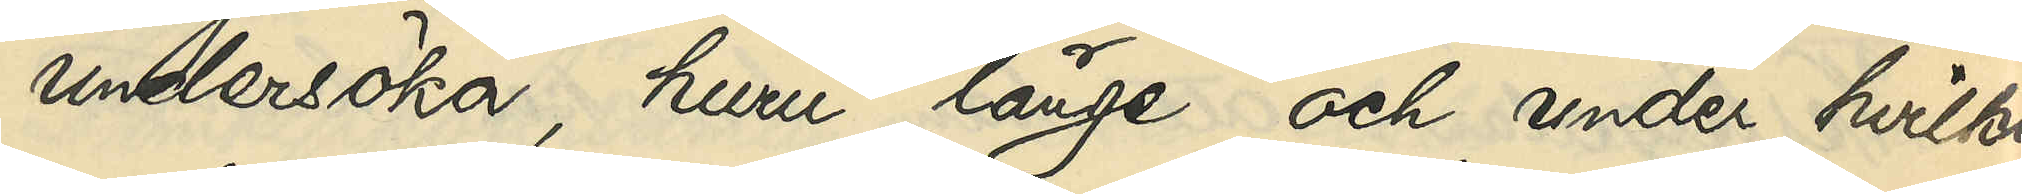undersöka, huru länge och under hvilka
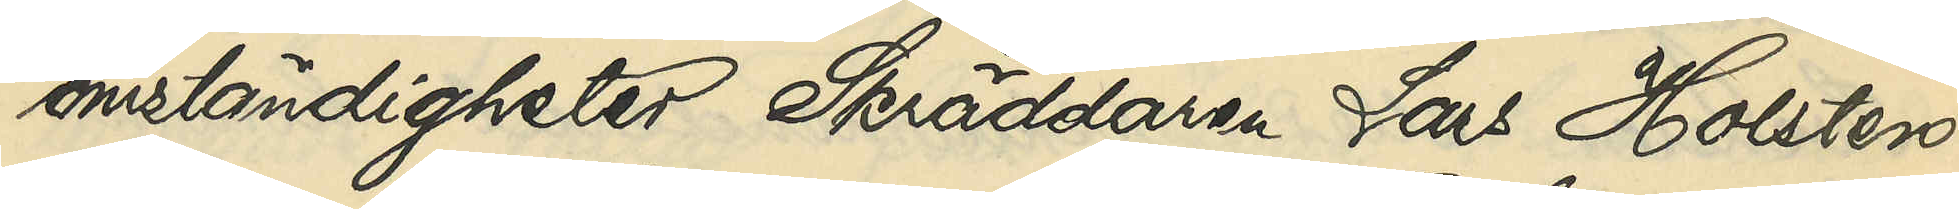omständigheter Skräddaren Lars Holsten
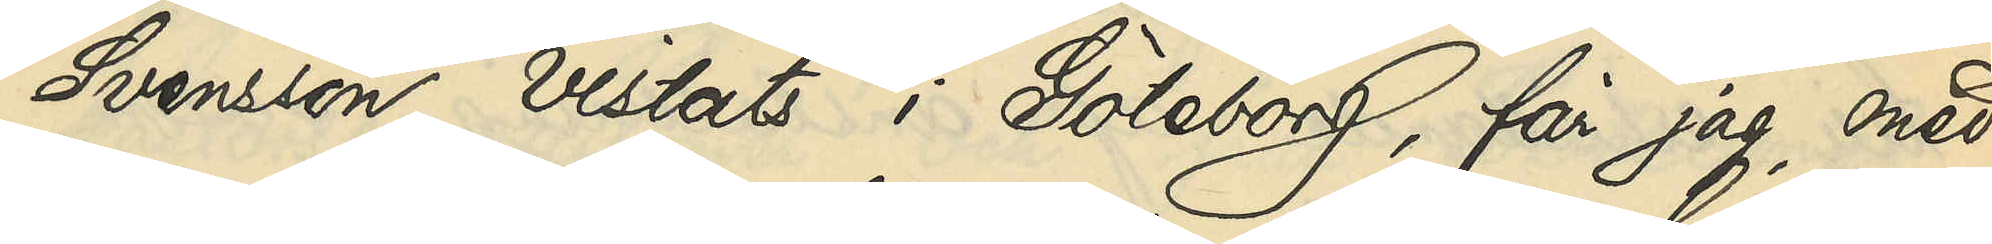Svensson vistats i Göteborg, får jag, med
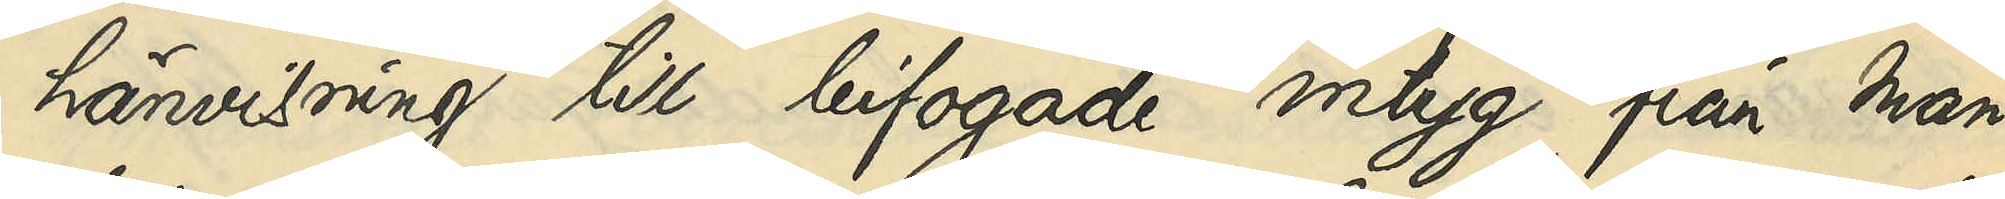hänvisning till bifogade intyg från man¬
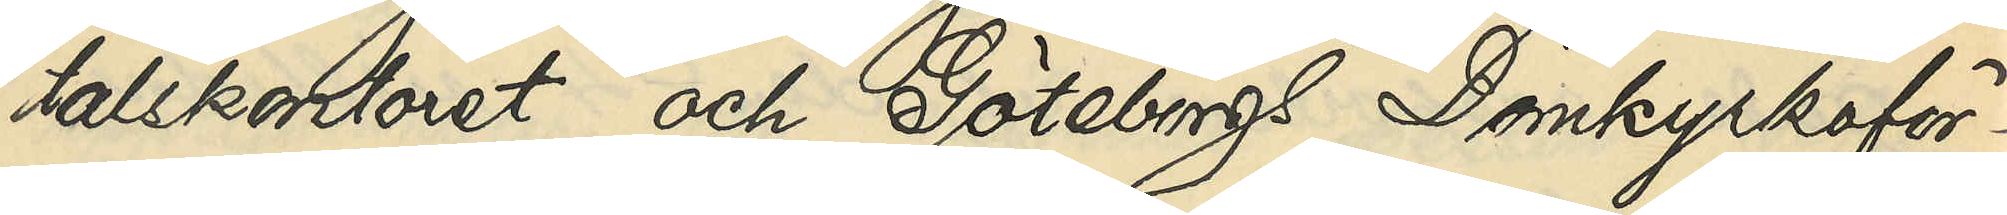talskontoret och Göteborgs Domkyrkoför¬
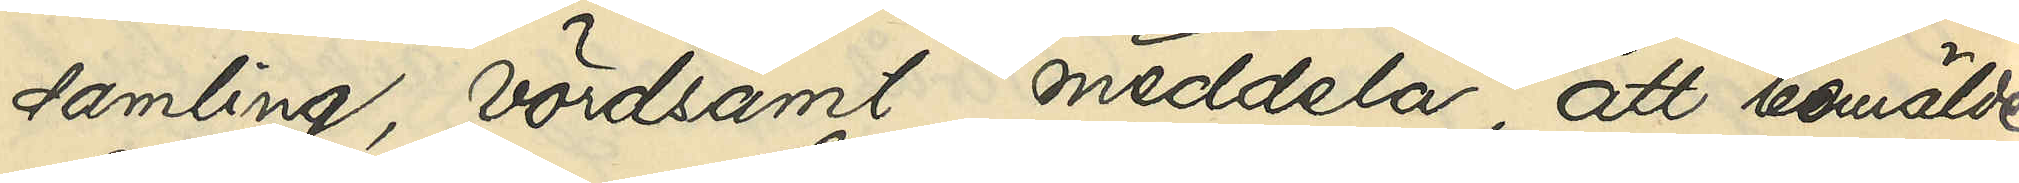samling, vördsamt meddela, att bemälde
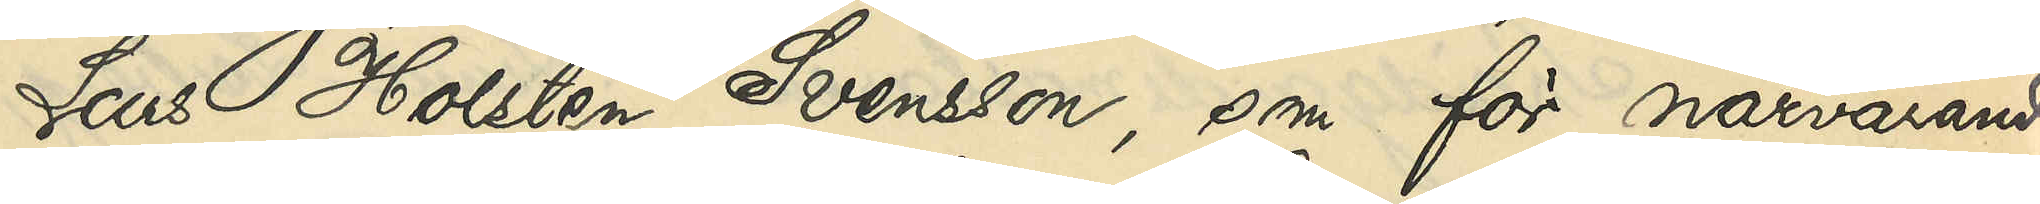Lars Holsten Svensson, som för närvarande
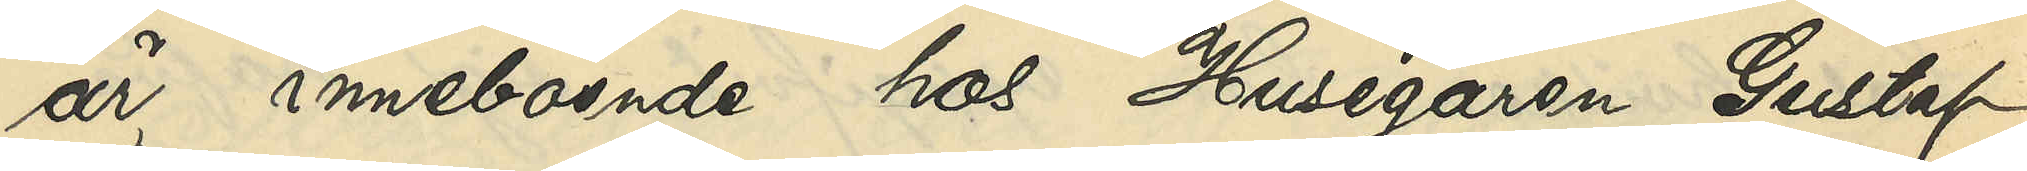är inneboende hos Husegaren Gustaf
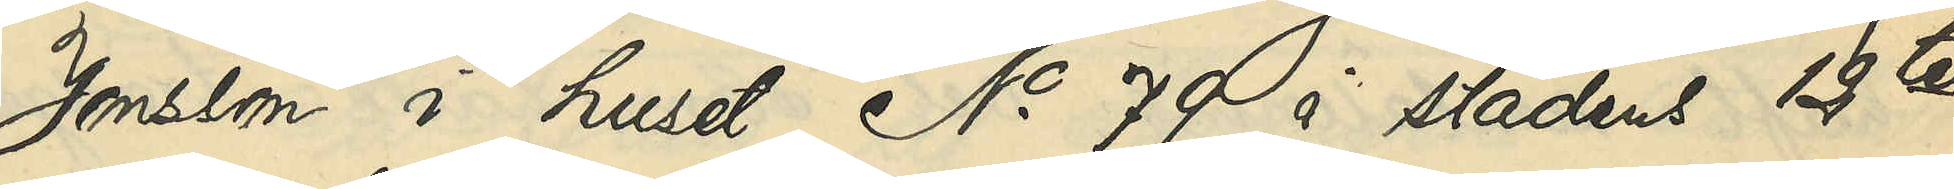Jonsson i huset No 79 i stadens 12te
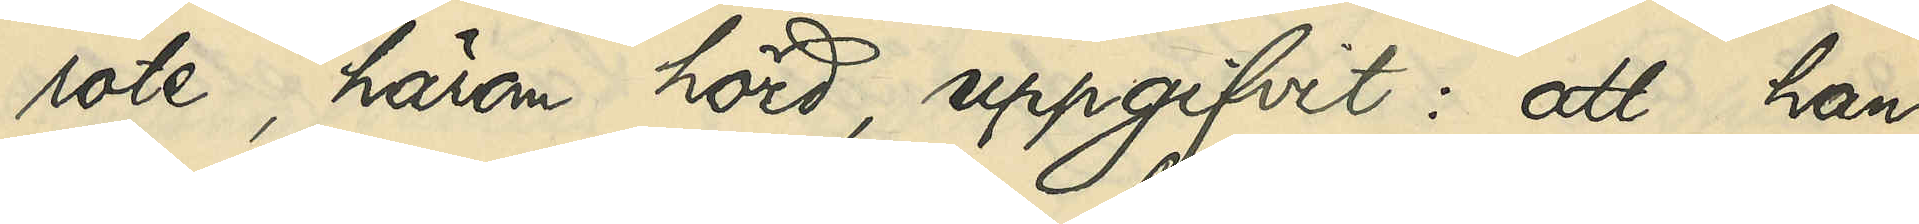rote, härom hörd, uppgifvit: att han
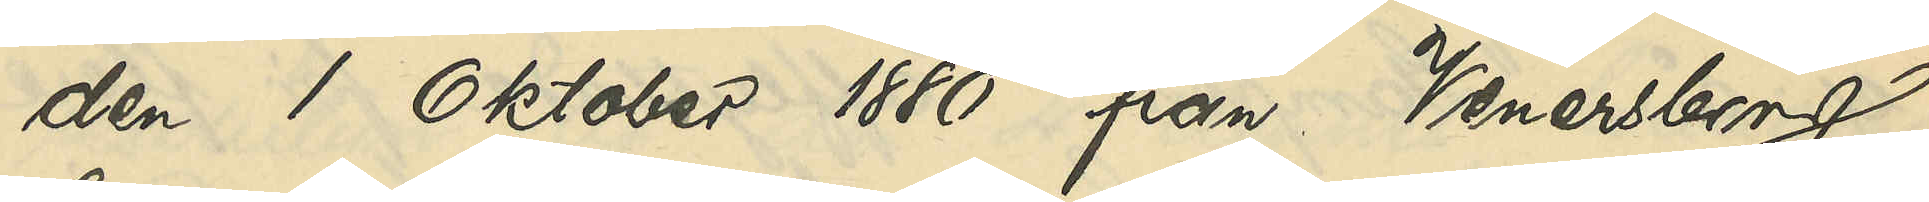den 1 Oktober 1880 från Venersborg,
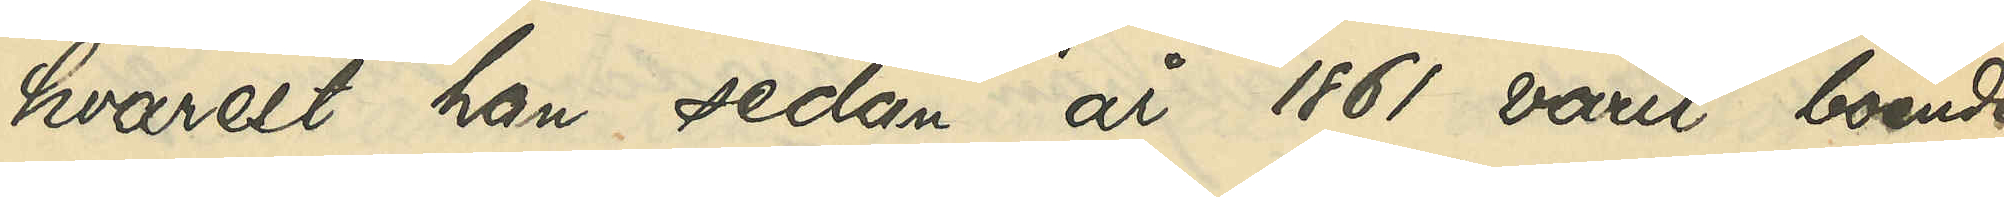hvarest han sedan år 1861 varit boende,
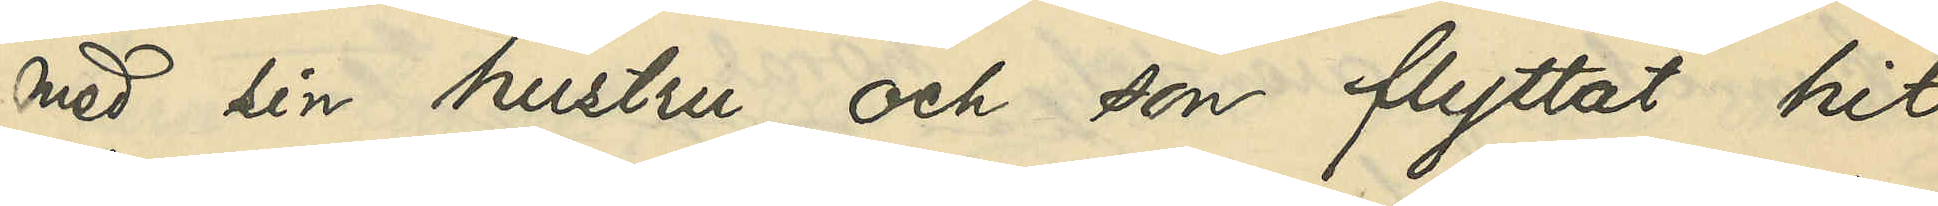med sin hustru och son flyttat hit 
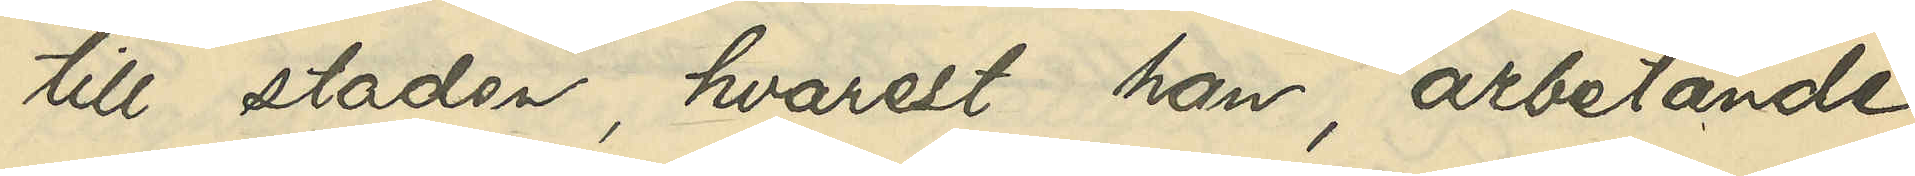till staden, hvarest han, arbetande
